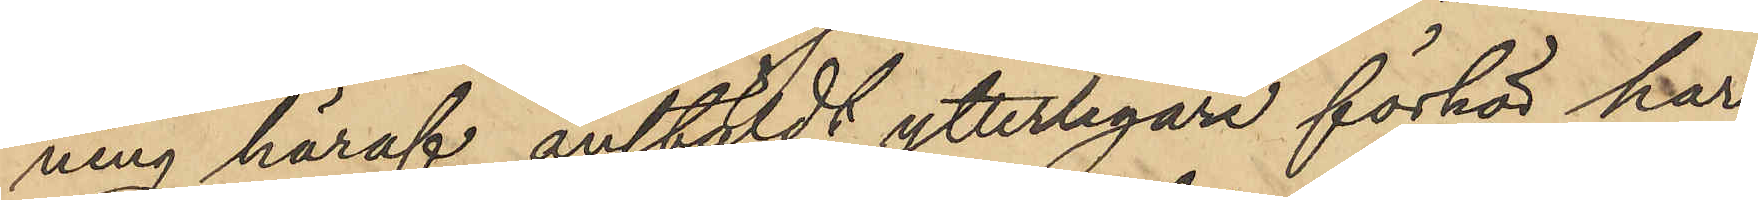ning häraf anstäldt ytterligare förhör har
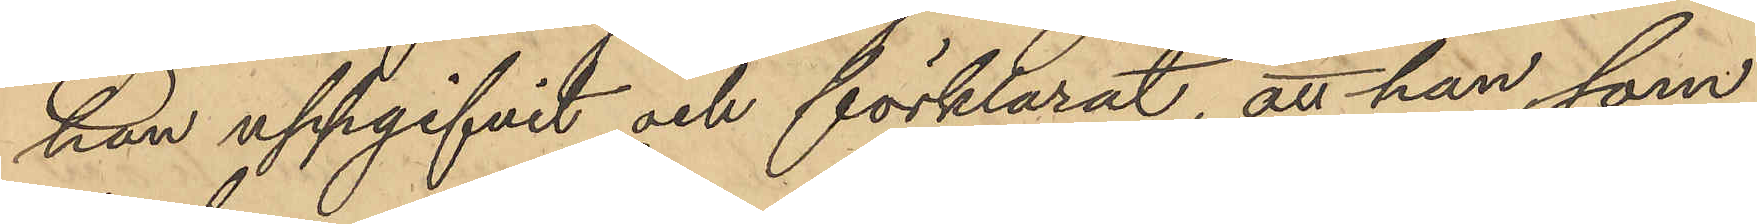han uppgifvit och förklarat att han som
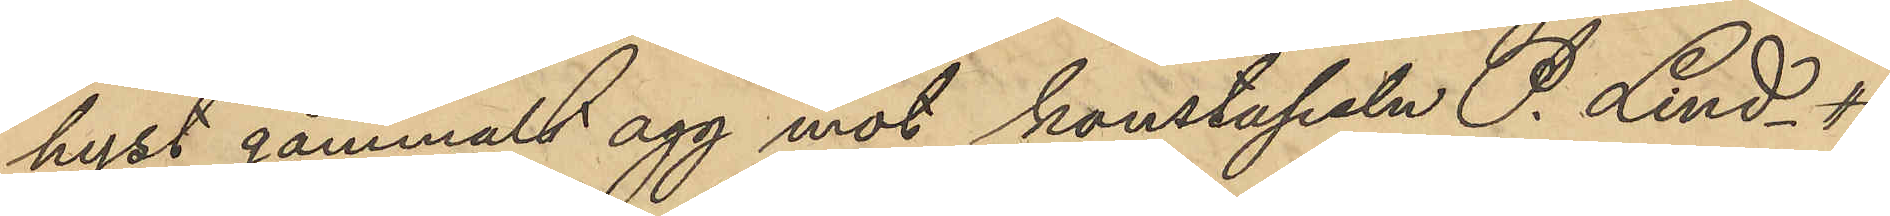hyst gammalt agg mot konstapeln P. Lind¬
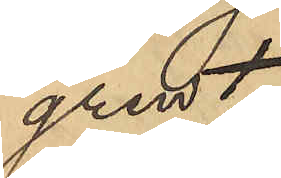gren,
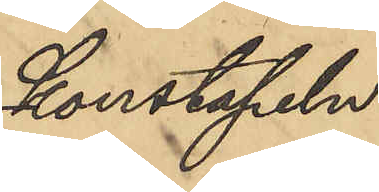Konstapeln
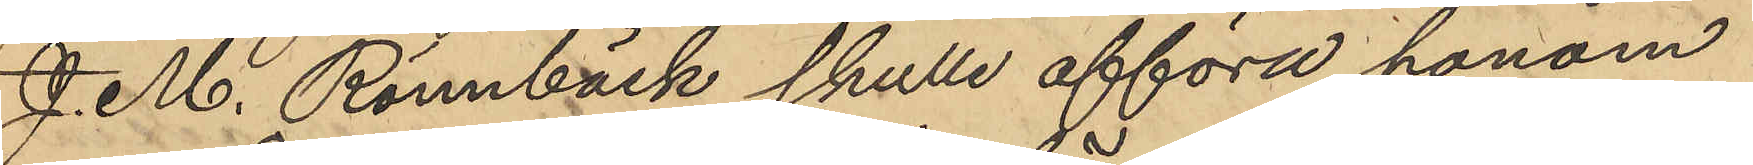J. M. Rönnbäck skulle afföra honom
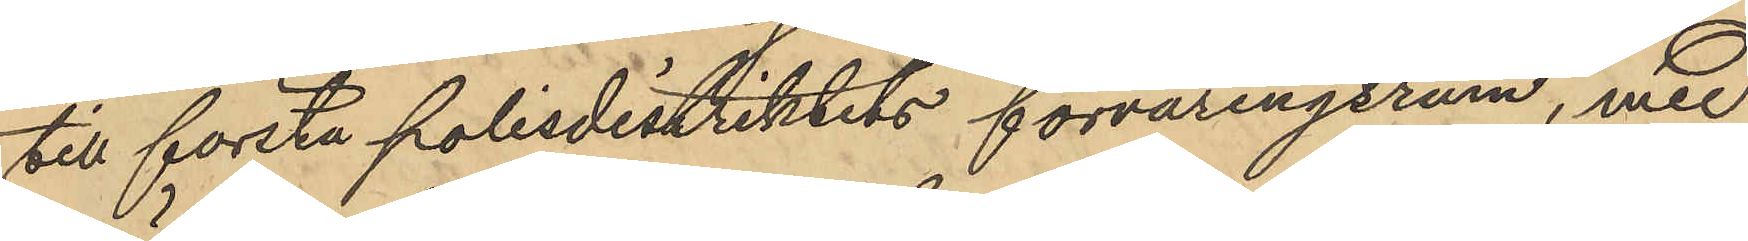till första polisdistriktets förvaringsrum, med
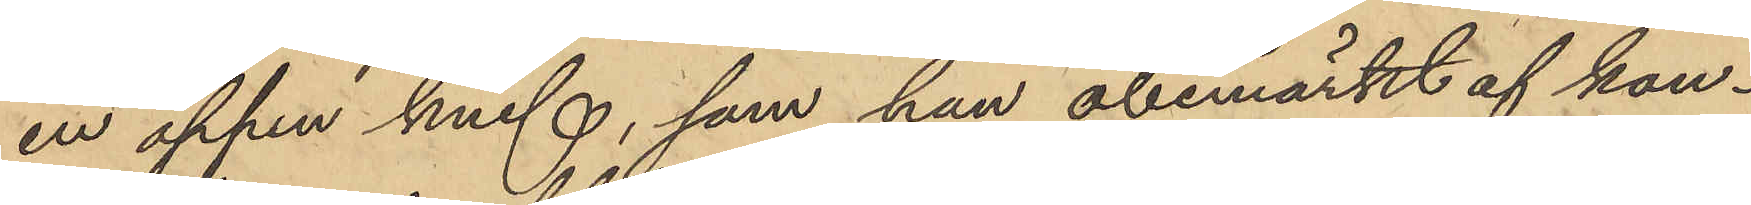en öppen knif, som han obemärkt af kon¬
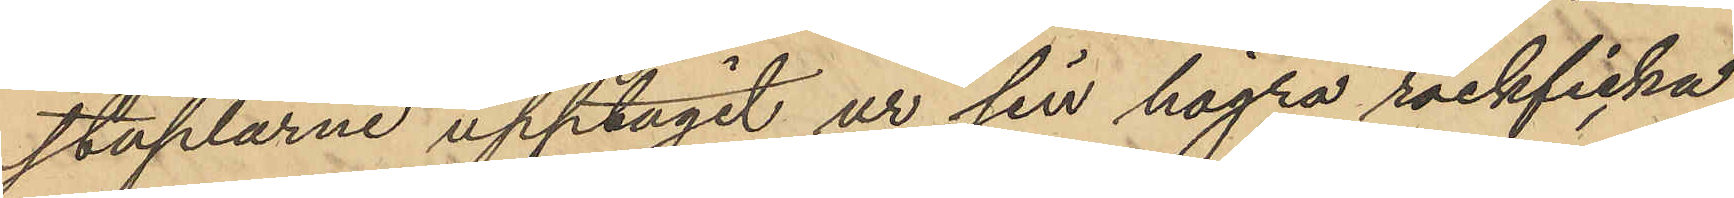staplarne upptagit ur sin högra rockficka
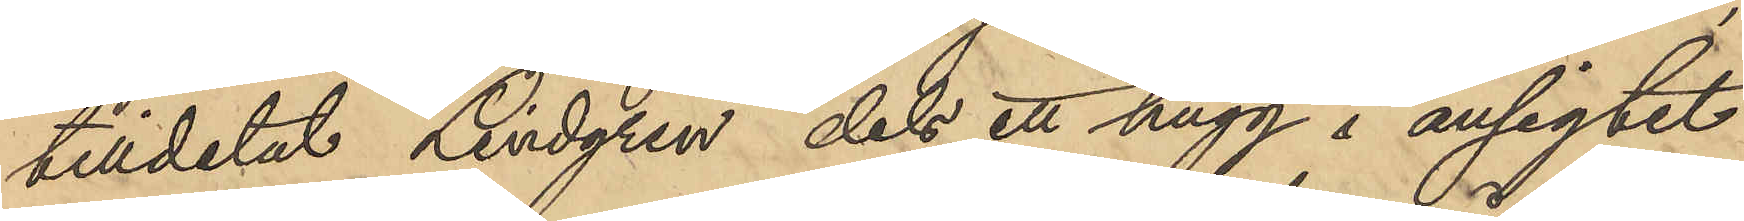tilldelat Lindgren dels ett hugg i ansigtet
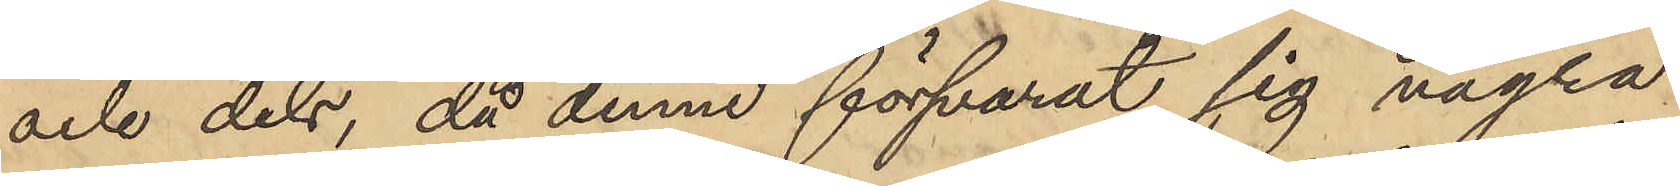och dels, då denne försvarat sig några
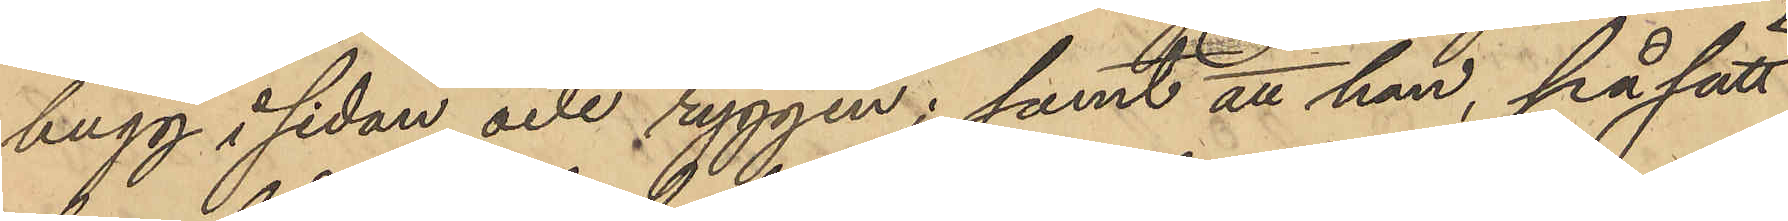hugg i sidan och ryggen; samt att han, på sätt
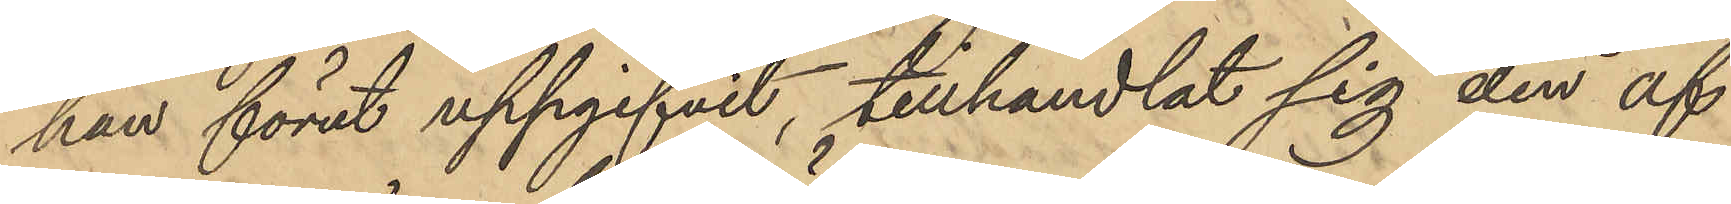han förut uppgifvit, tillhandlat sig den af
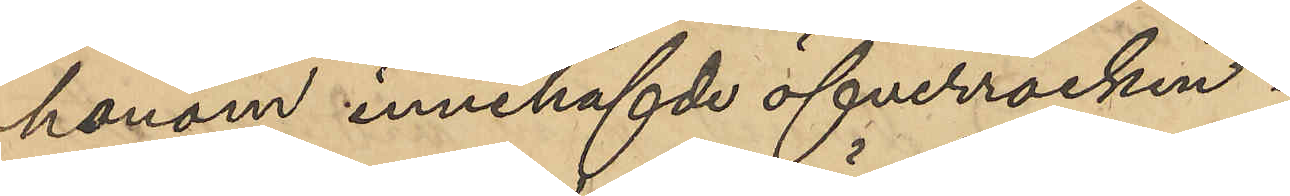honom innehafde öfverrocken.
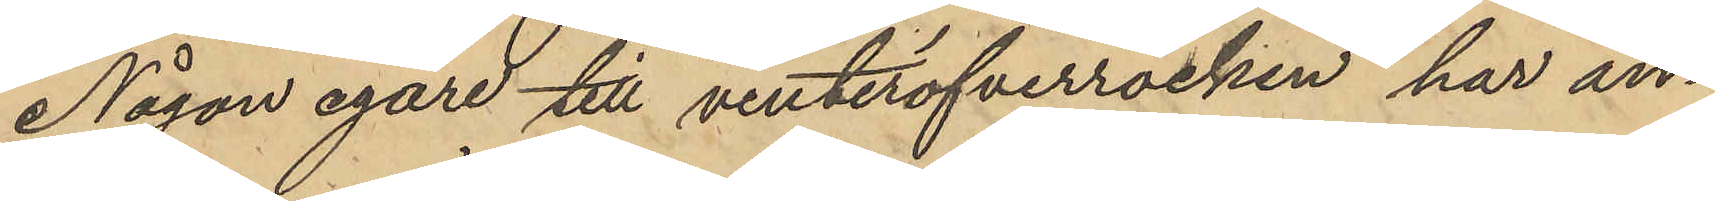Någon egare till vinteröfverrocken har än¬
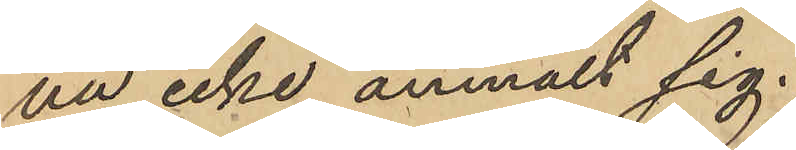nu icke anmält sig.
